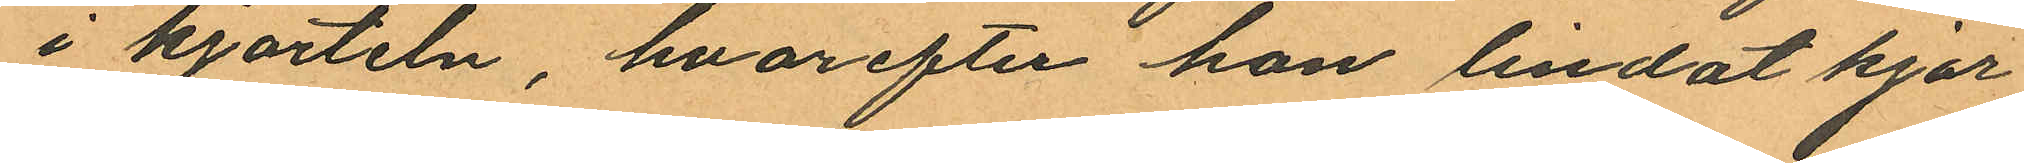i kjorteln, hvarefter hon lindat kjor
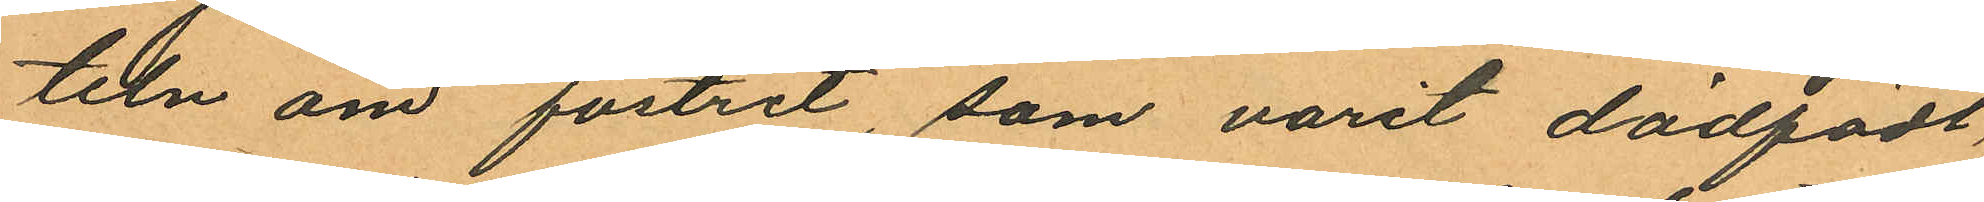teln om fostret, som varit dödfödt,
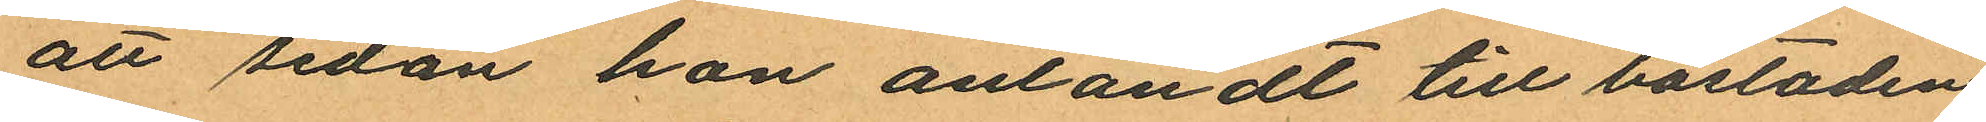att sedan hon anländt till bostaden
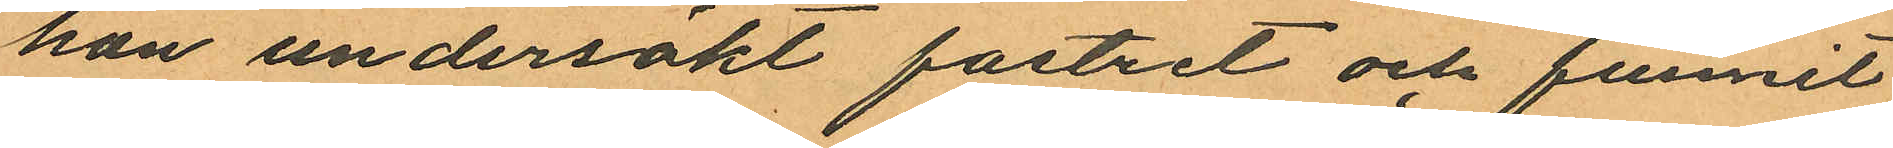hon undersökt fostret och funnit
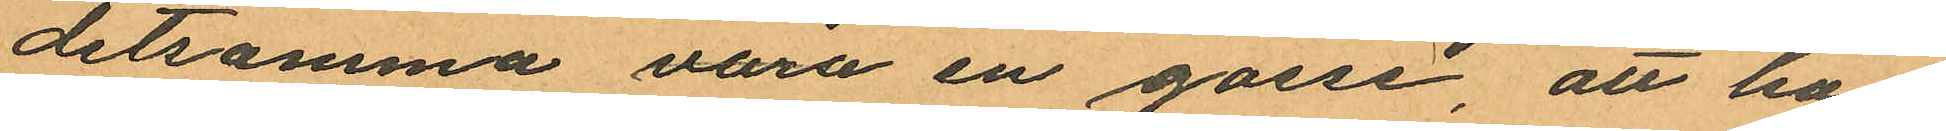detsamma vara en gosse att hon
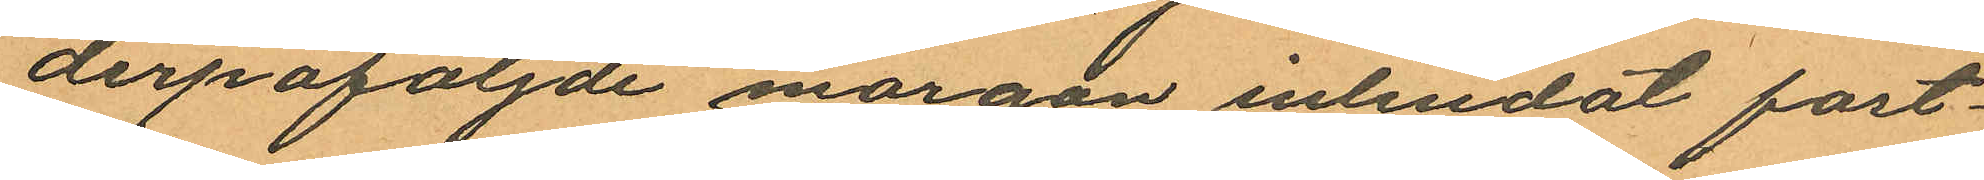derpåföljnde morgon inlindat fost¬
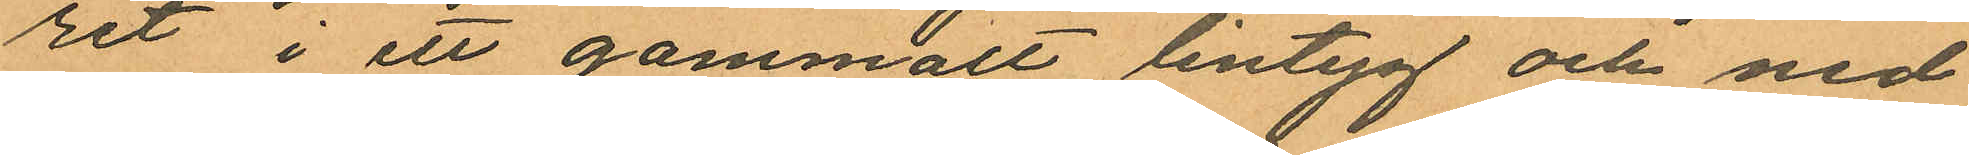ret i ett gammalt lintyg och ned
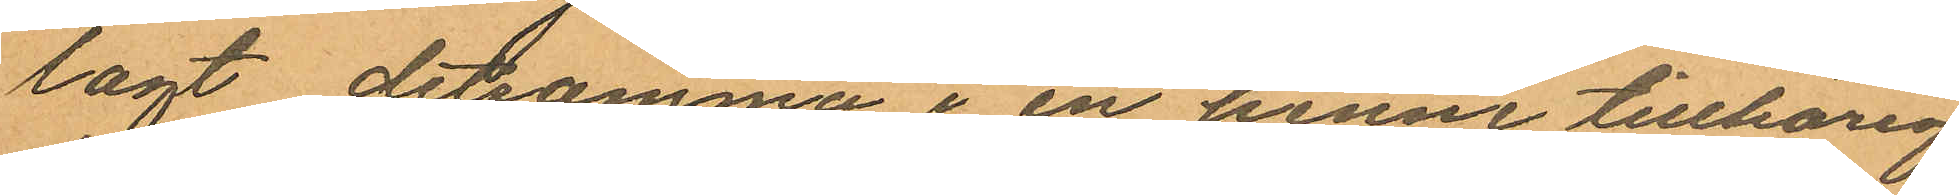lagt detsamma i en henne tillhörig
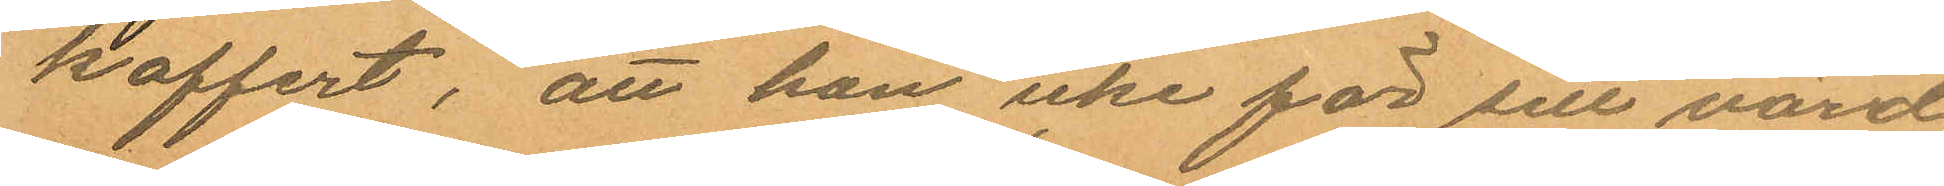koffert, att hon icke för sitt värd
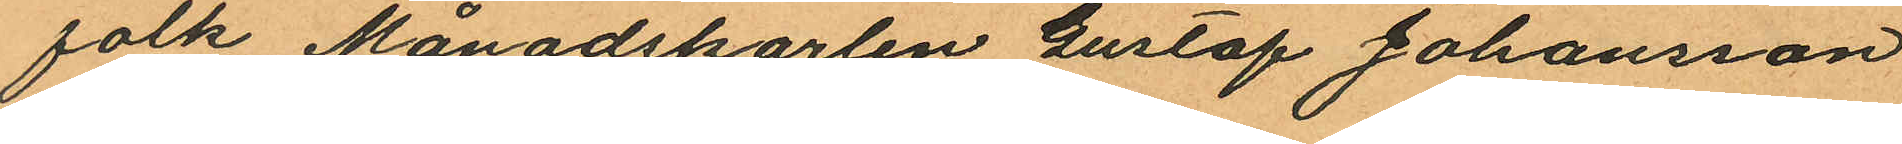folk Månadskarlen Gustaf Johansson
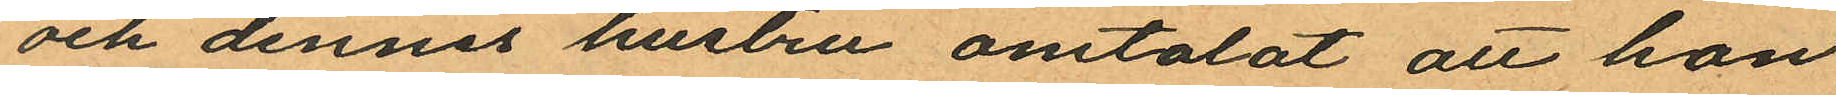och dennes hustru omtalat att hon
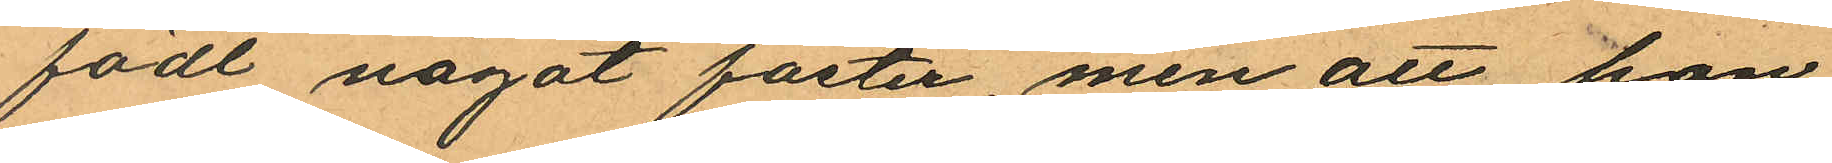födt något foster, men att hon
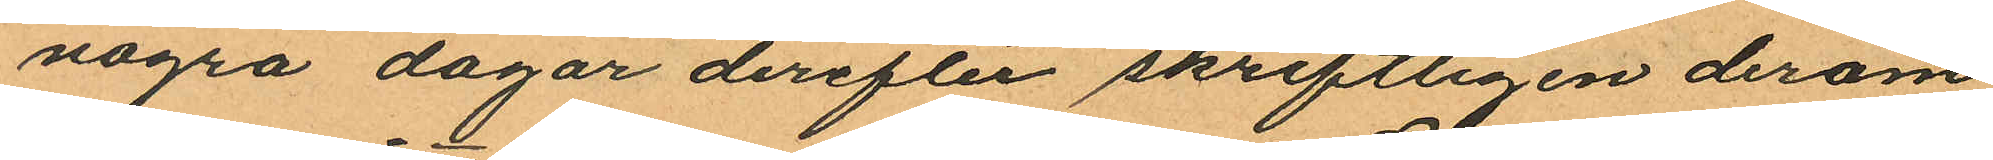några dagar derefter skriftligen derom
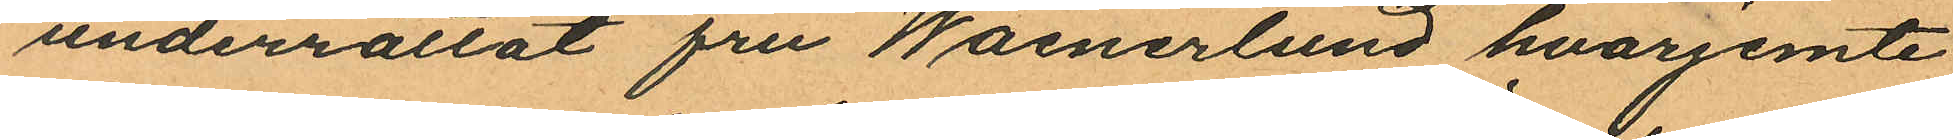underrättat fru Waenerlund hvarjemte
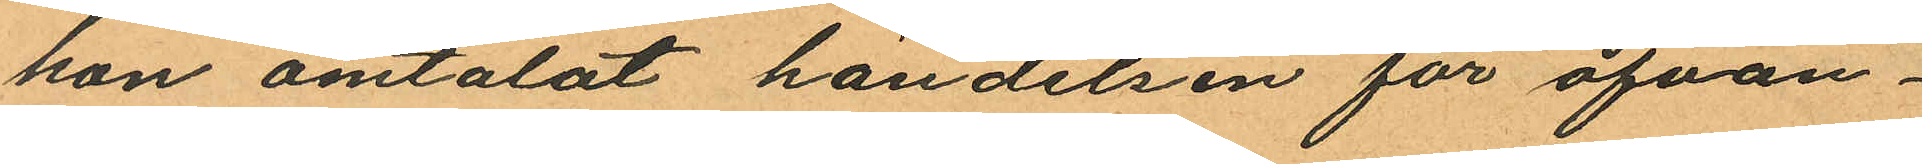hon omtalat händelsen för ofvan¬
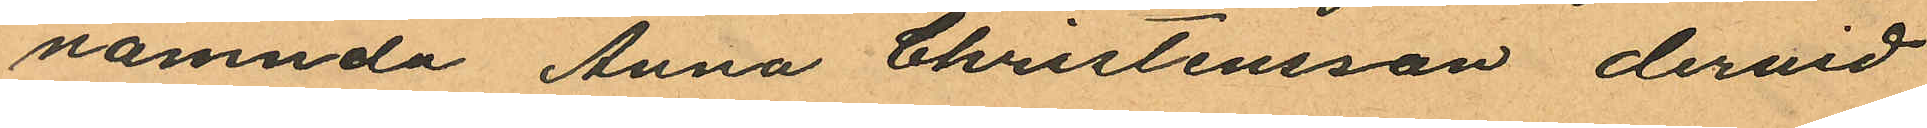nämnda Anna Christensson dervid
